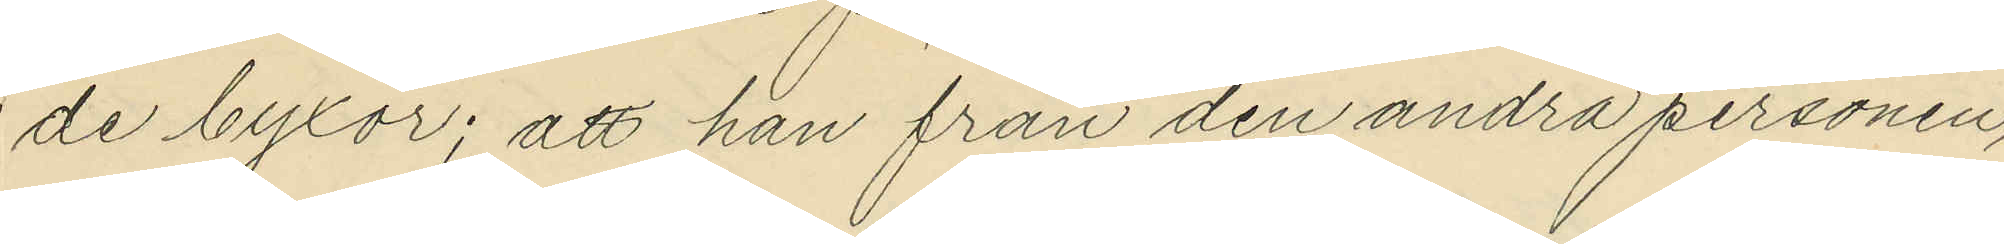de byxor; att han från den andra personen,
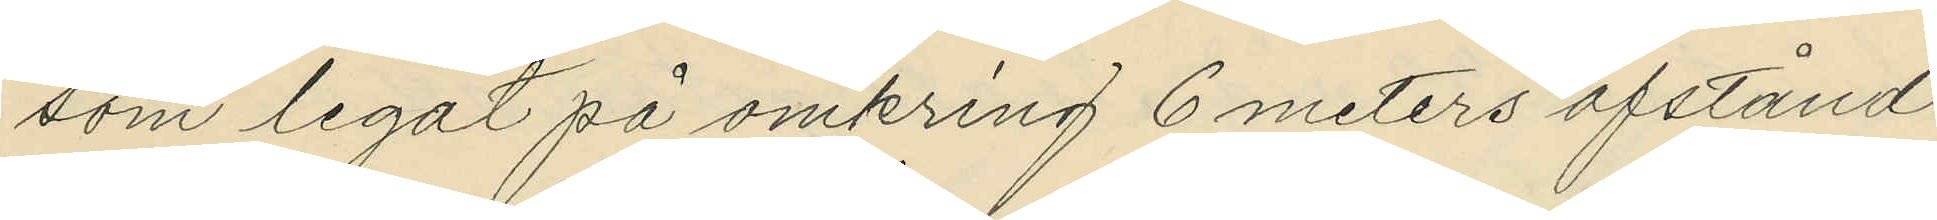som legat på omkring 6 meters afstånd
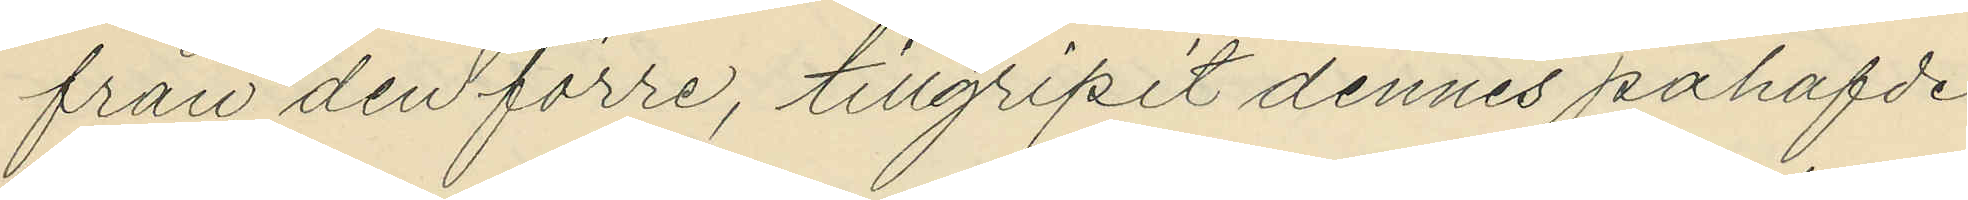från den förre, tillgripit dennes påhafde
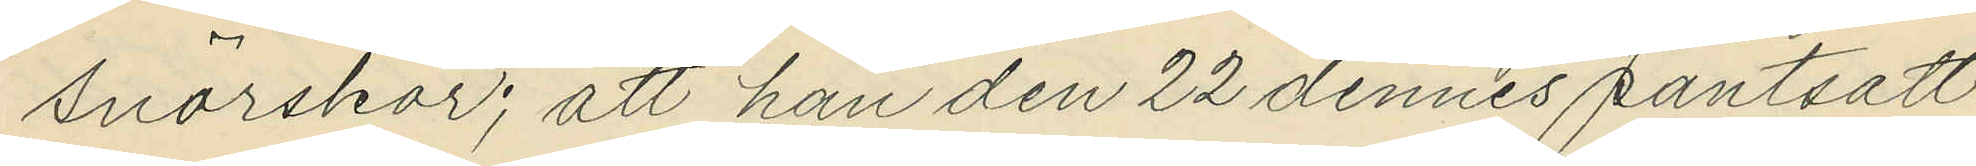snörskor; att han den 22 dennes pantsatt
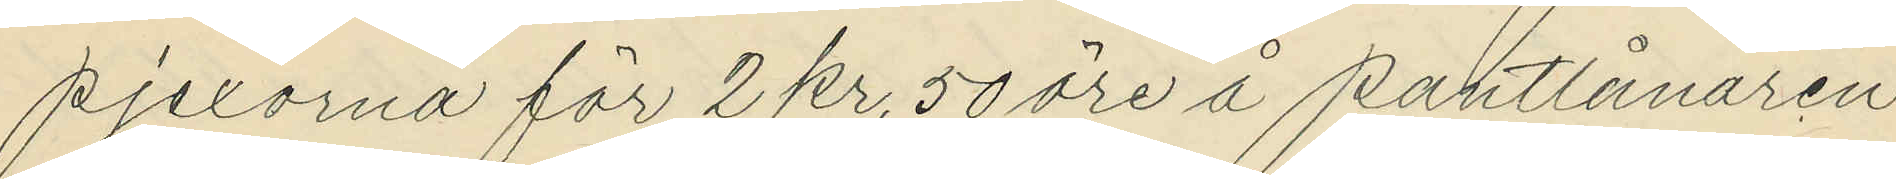pjexorna för 2 kr. 50 öre å pantlånaren
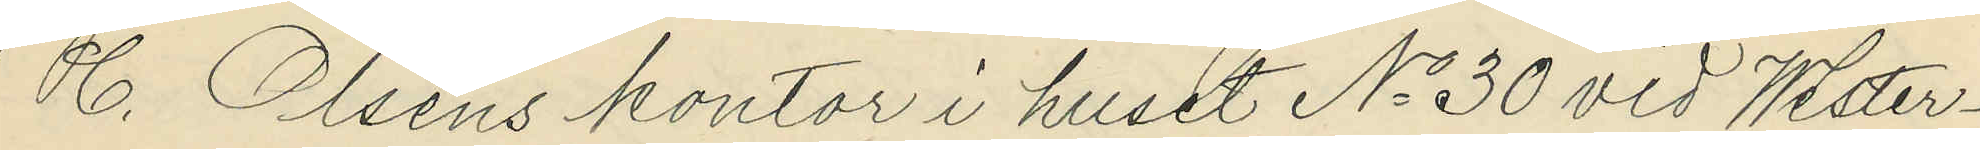C. Olséns kontor i huset No 30 vid Wester¬
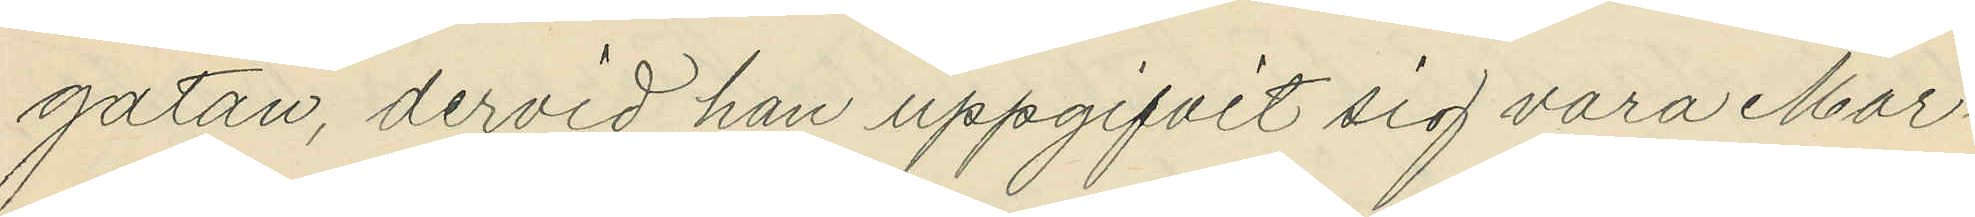gatan, dervid han uppgifvit sig vara Mar¬
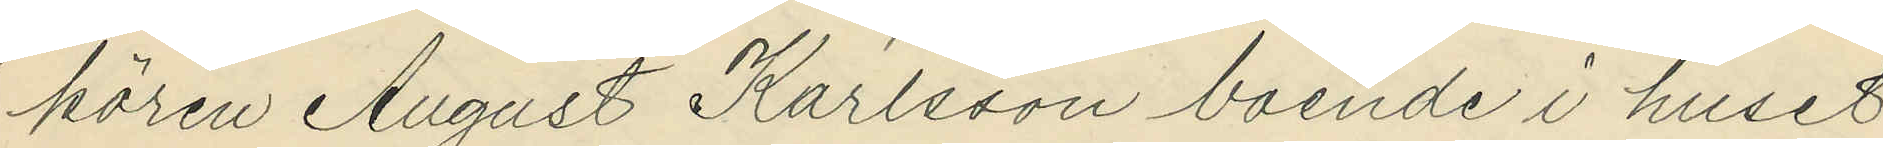kören August Karlsson boende i huset
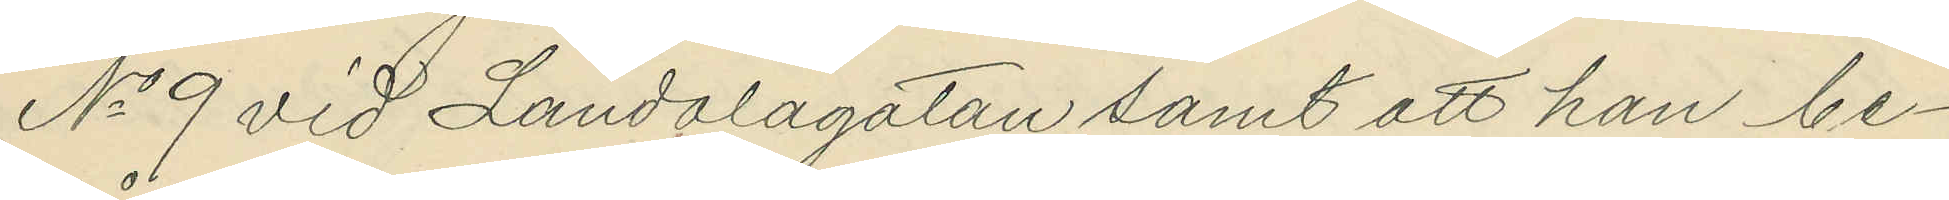No 9 vid Landalagatan samt att han be¬
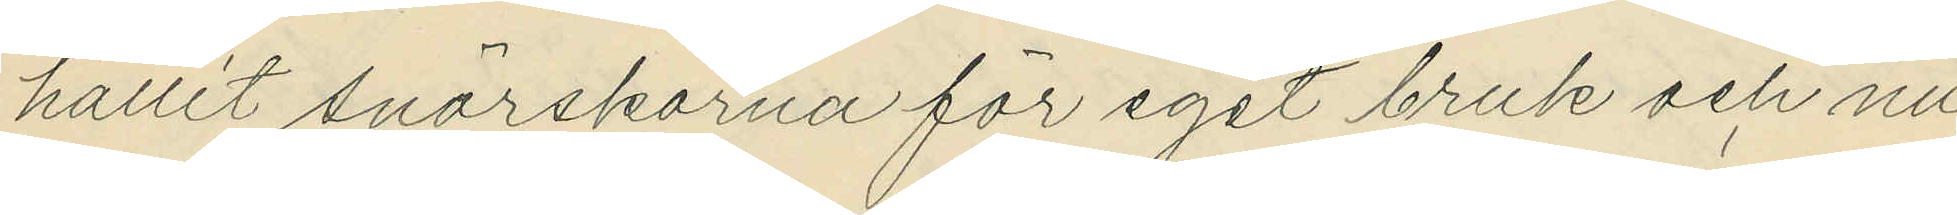hållit snörskorna för eget bruk och nu
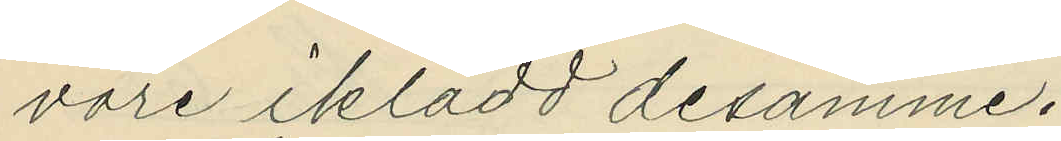vore iklädd desamme.
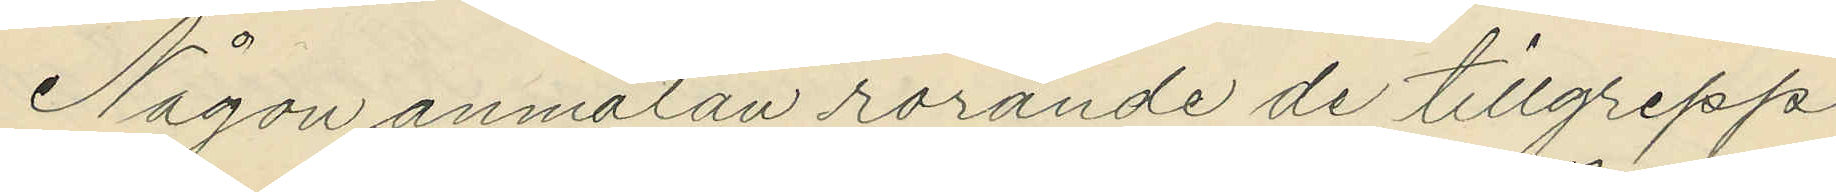Någon anmälan rörande de tillgrepp
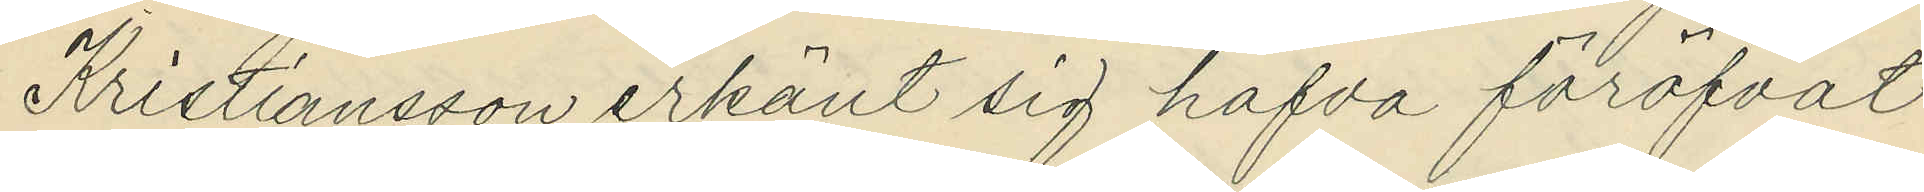Kristiansson erkänt sig hafva föröfvat
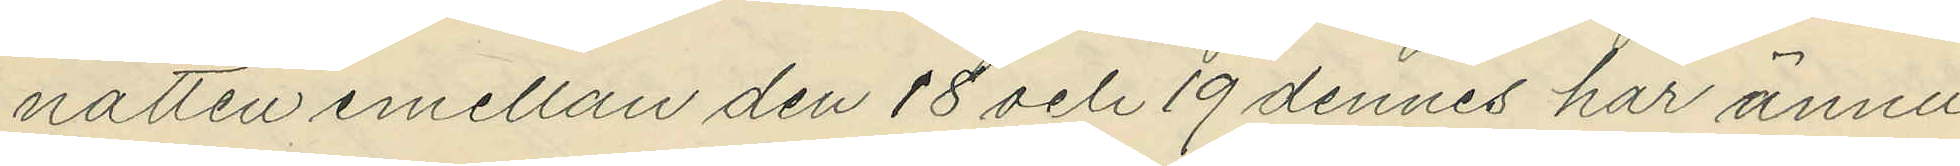natten emellan den 18 och 19 dennes har ännu
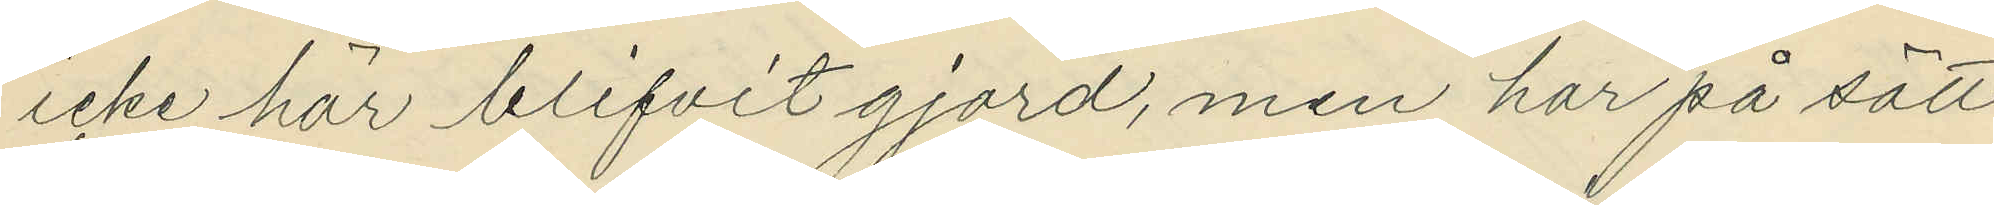icke här blifvit gjord, men har på sätt
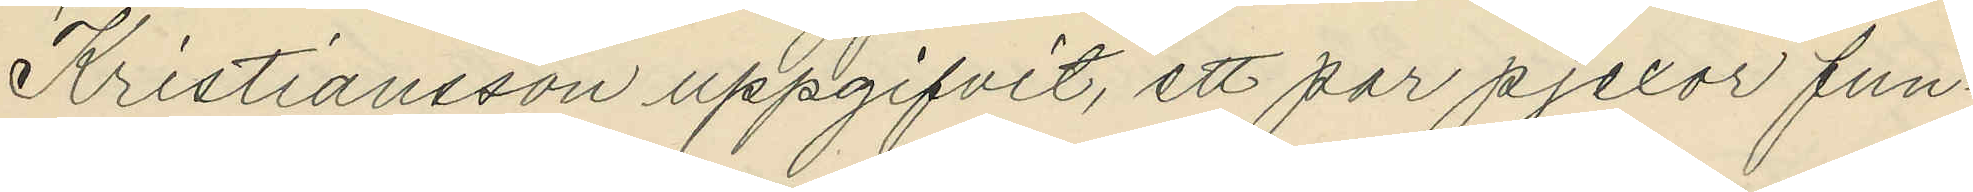Kristiansson uppgifvit, ett par pjexor fun¬
